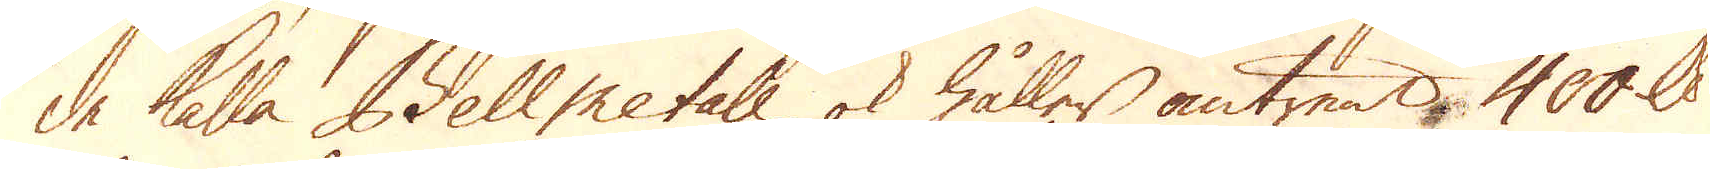de kalla Bell metale ok håller omtrent 400 skålpund
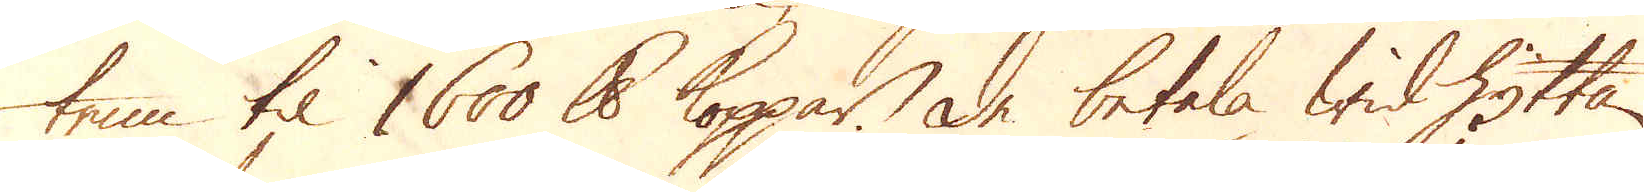tenn til 1600 skålpund koppar. De betala wid Hyttan
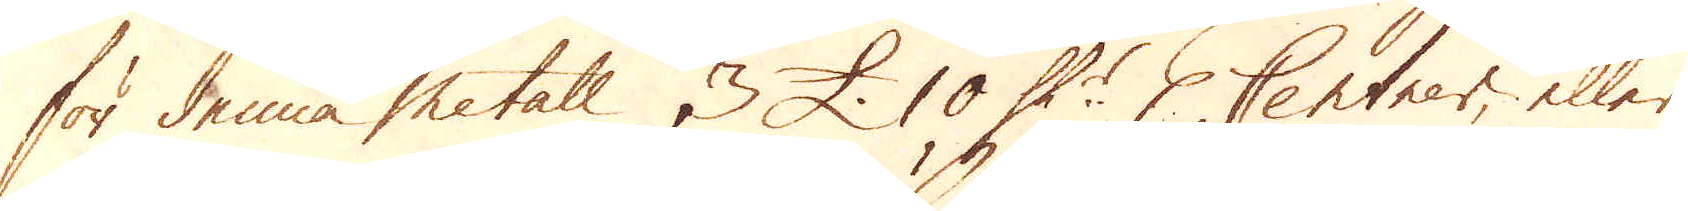för denna Metall, 3 £. 10 Sk:r p Centner, eller
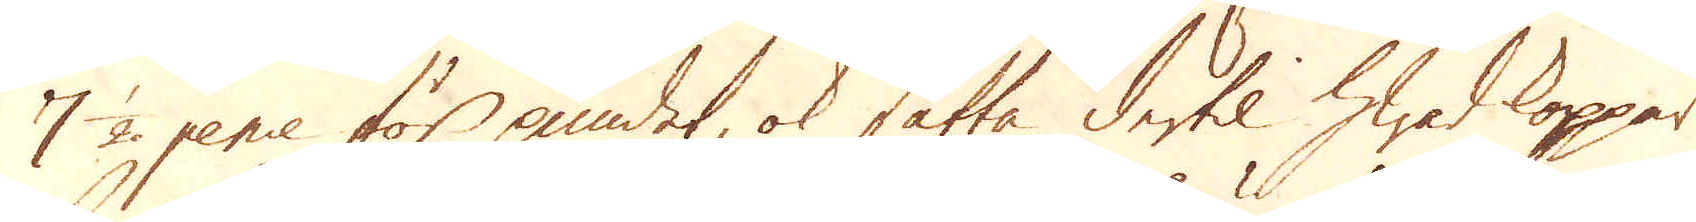7 1/2 pence för pundet, ok sätta dertil hwad koppar
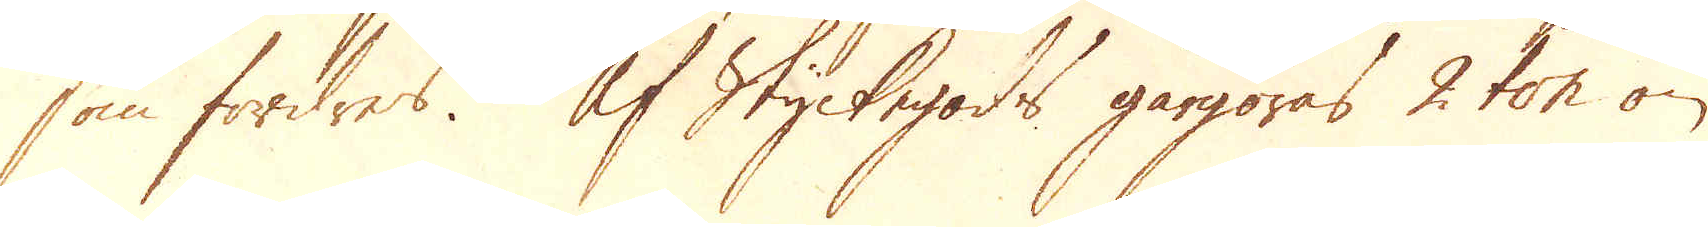som fordres. Af Styckegods gårgöras 2 ton om
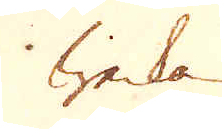weckan.
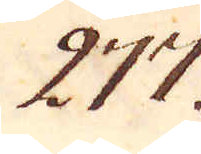277.
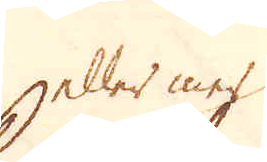heller mer
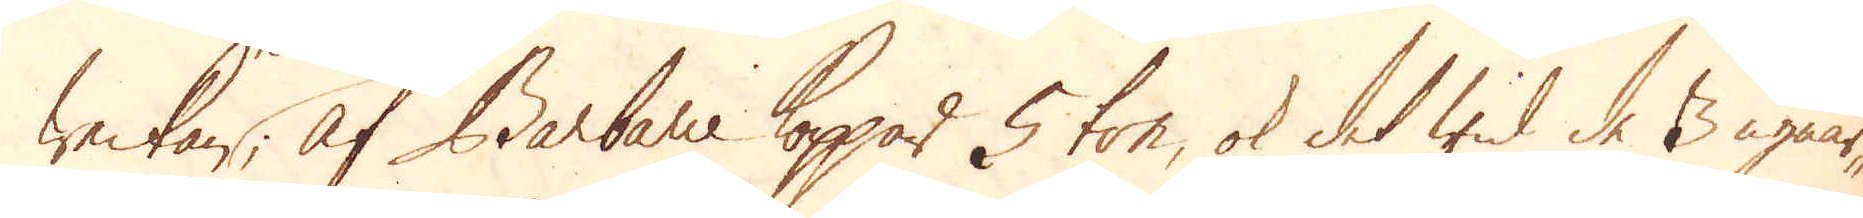weckan. Af Barbarie Koppar 5 ton, ok det wid de 3 ugnar-
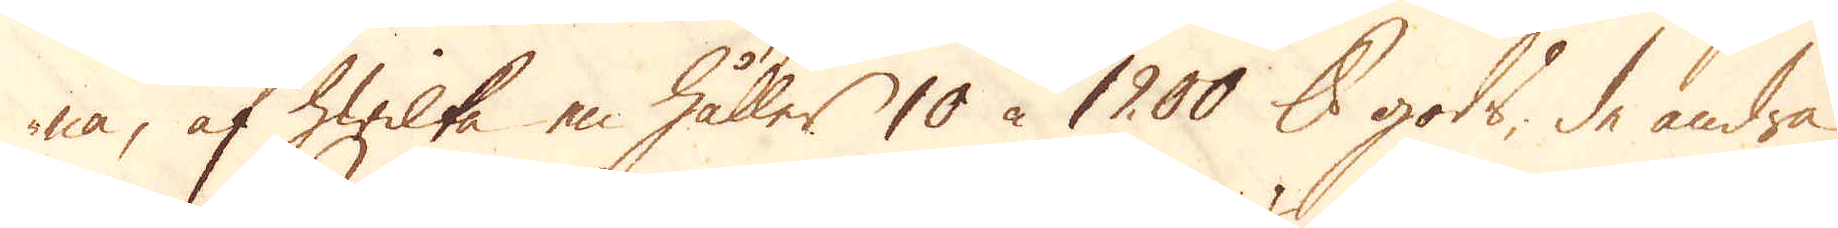na, af hwilka en håller 10 à 1200 skålpund gods, de andra
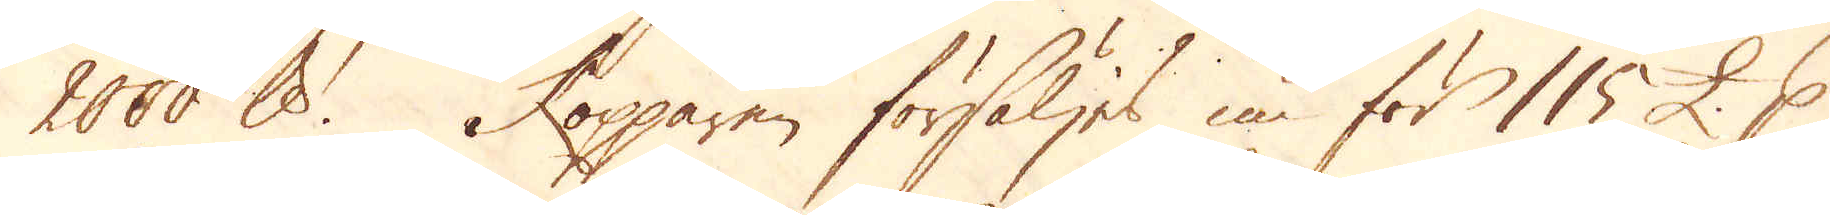2000 skålpund. Kopparen försäljes nu för 115 £. p
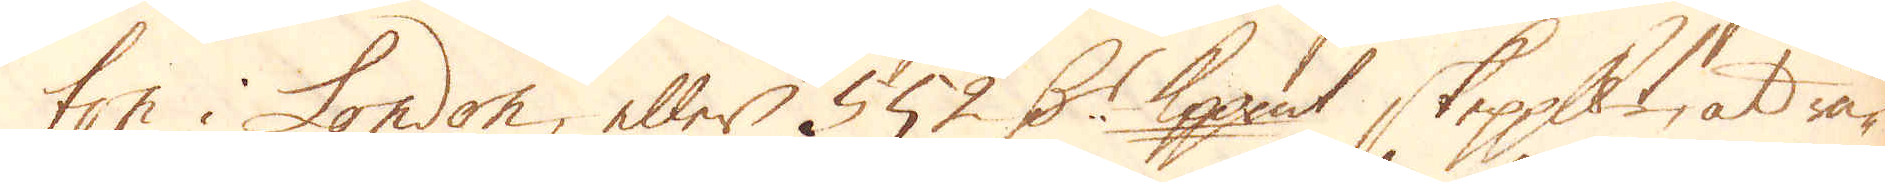ton i London, eller 552 D:r Kopp:mt skeppundet, at rä-
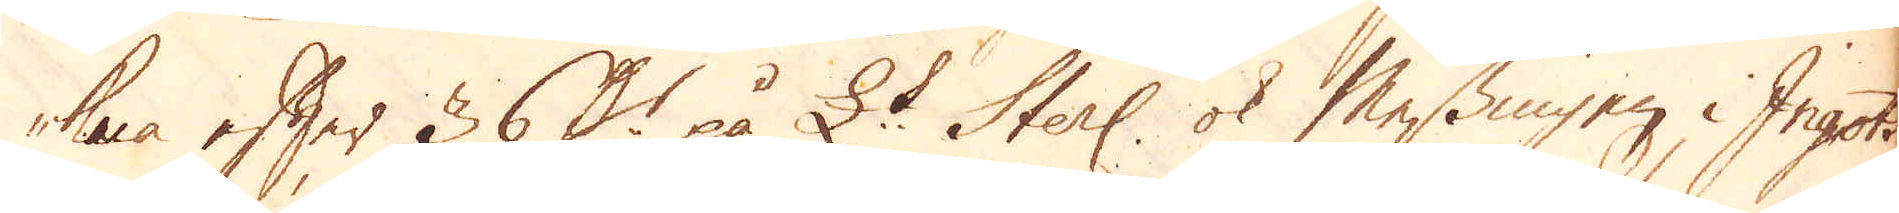kna efter 36 D:r på £:t Sterl: ok Messingen i Ingots
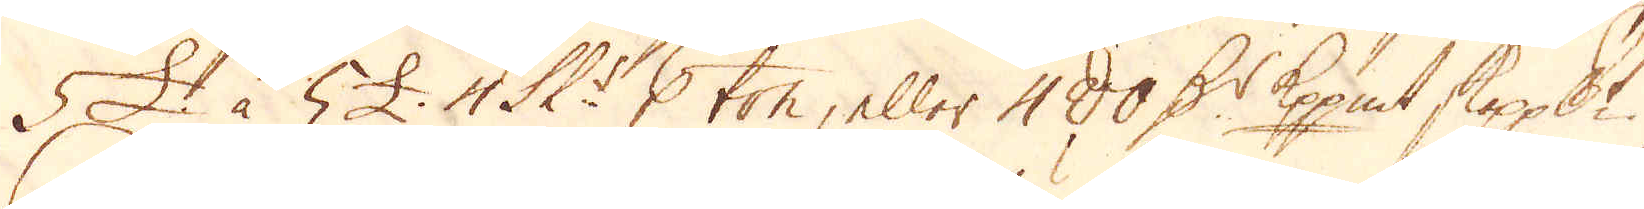5 £ à 5 £. 1 Sk:r p ton, eller 480 D:r Kpp:mt skeppundet.
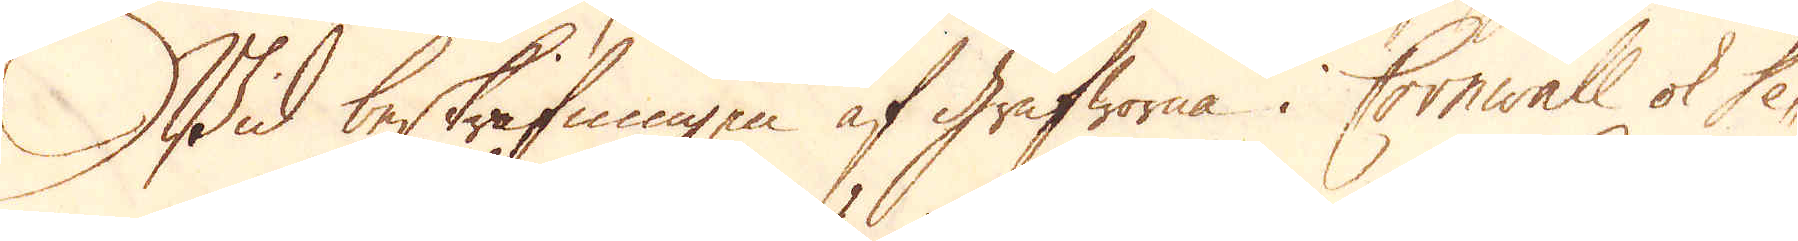Wid beskrifningen af Grufworna i Cornwal och De-
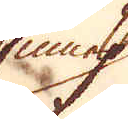Smide
